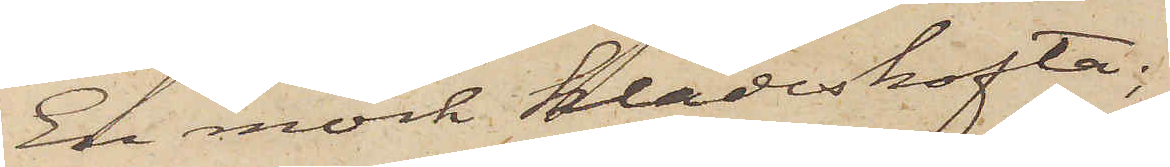En mörk klädeskofta;
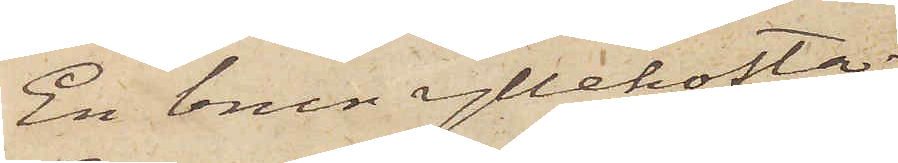En brun yllekofta;
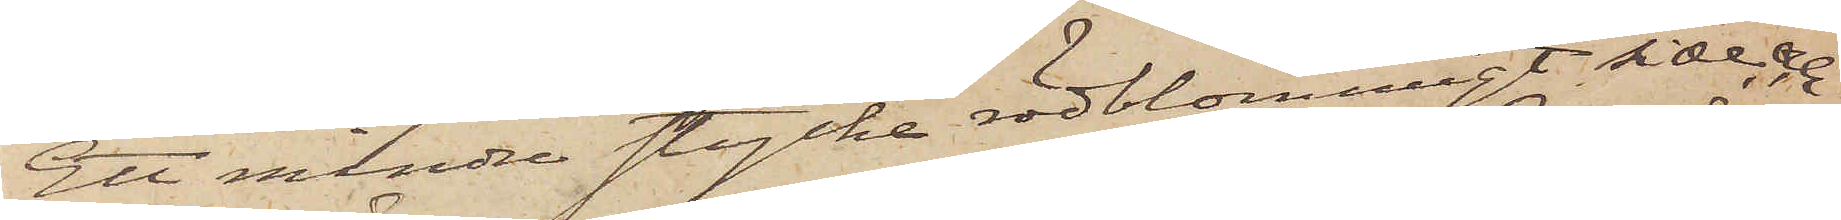Ett mindre stycke rödblommigt siden, och
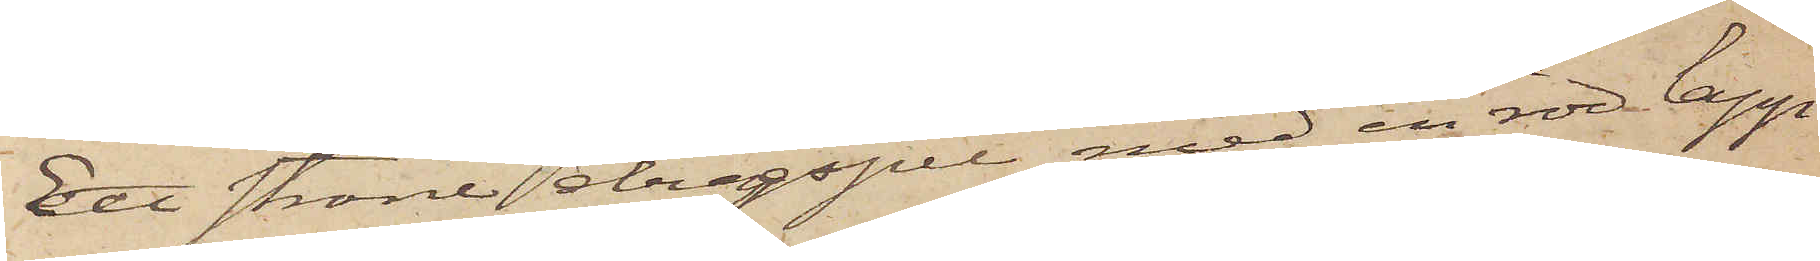Ett större dragspel med en röd lapp
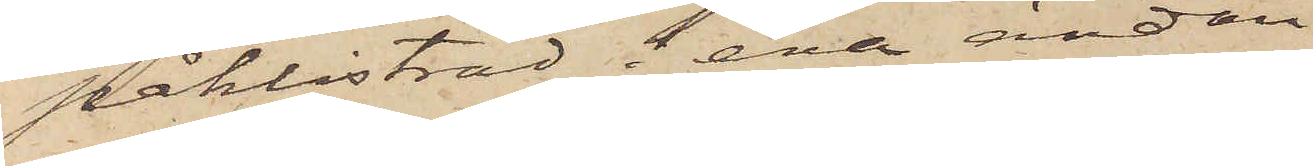påklistrad i ena ändan.
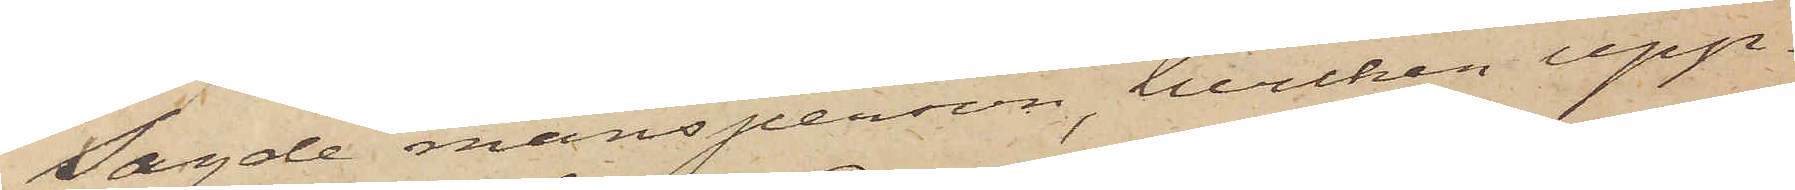Sagde mansperson, hvilken upp¬
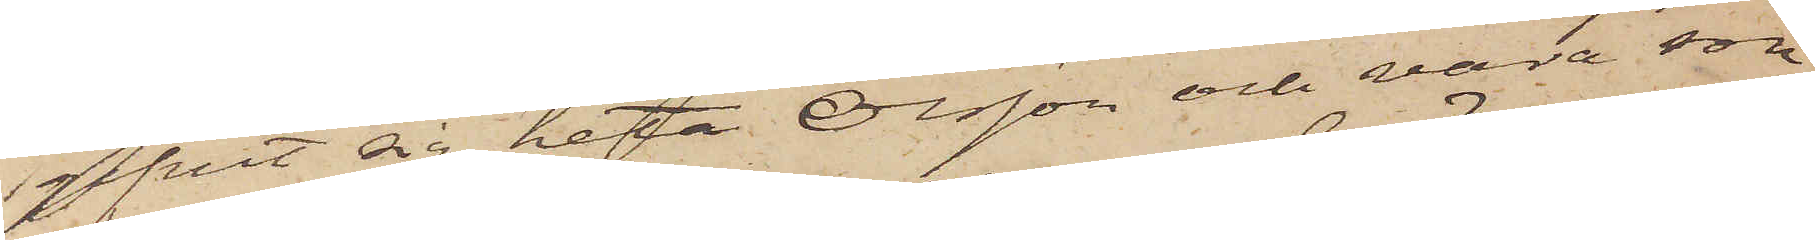gifvit sig heta Olsson och vara son
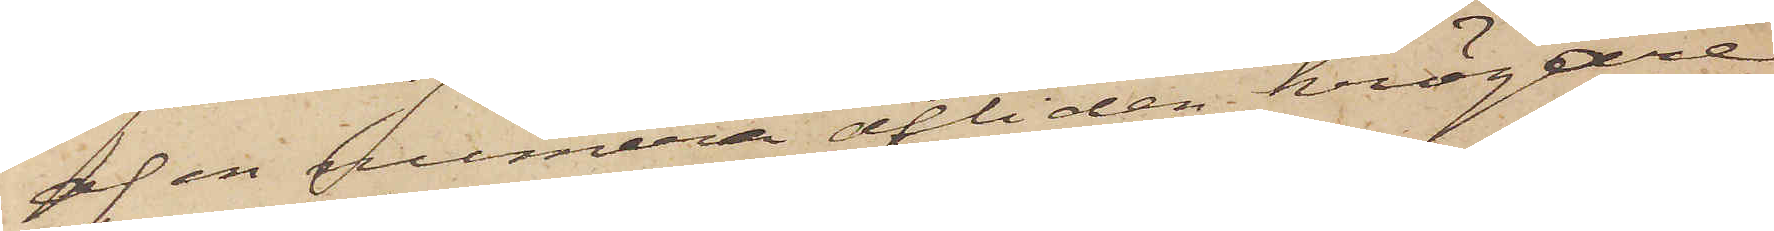af en numera afliden krögare,
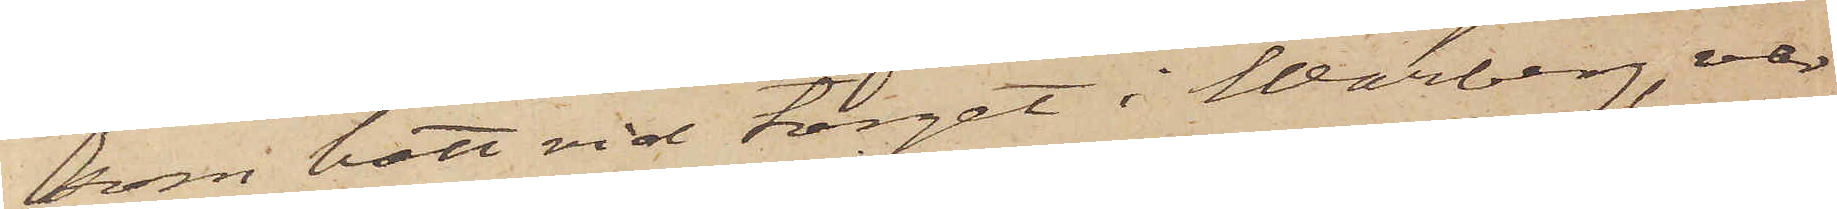som bott vid torget i Warberg, var
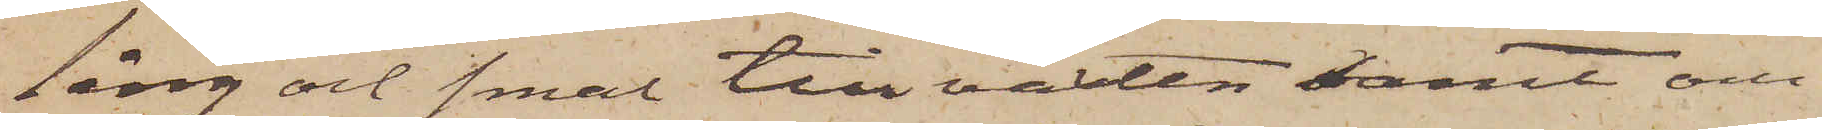lång och smal till växten samt om¬
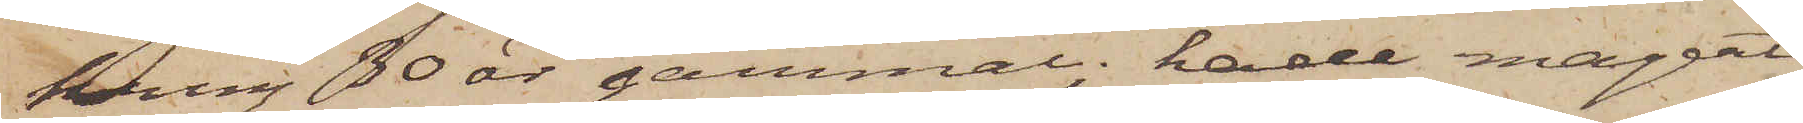kring 30 år gammal; hade magert
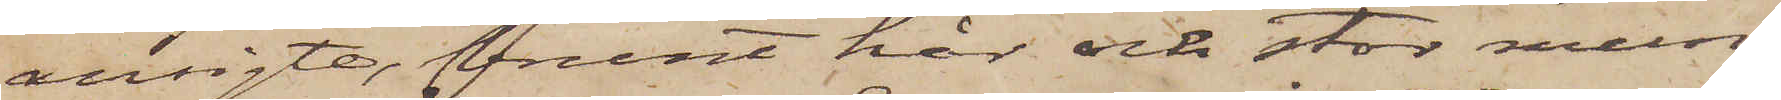ansigte, brunt hår och stor mun;
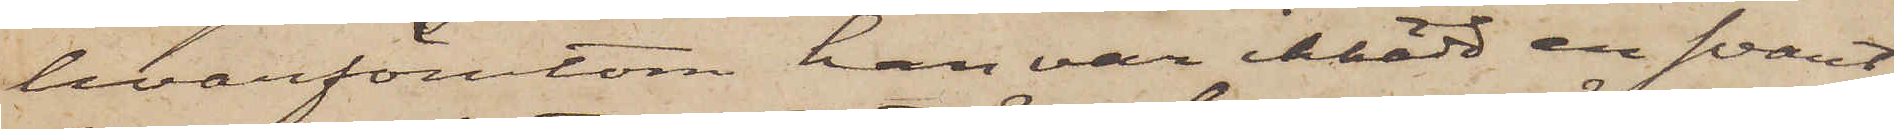hvarförutom han var iklädd en svart¬
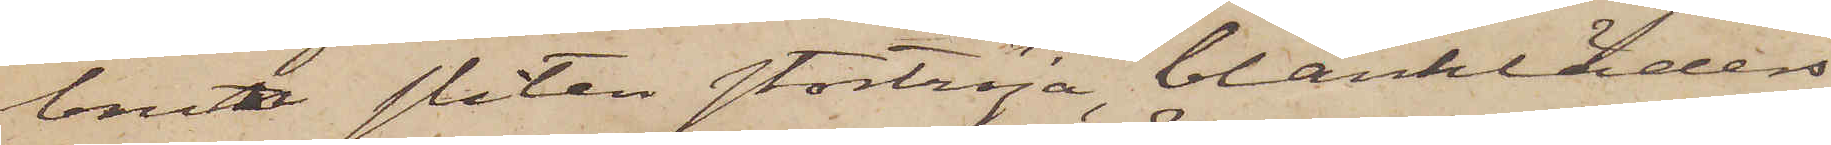brun sliten stortröja, blankläders¬
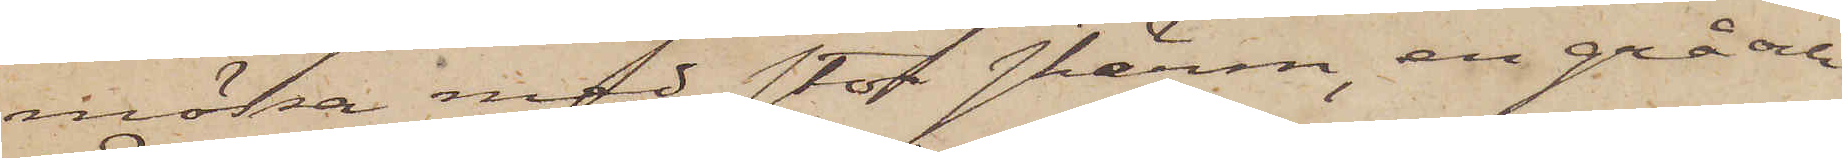mössa med stor skärm, en grå och
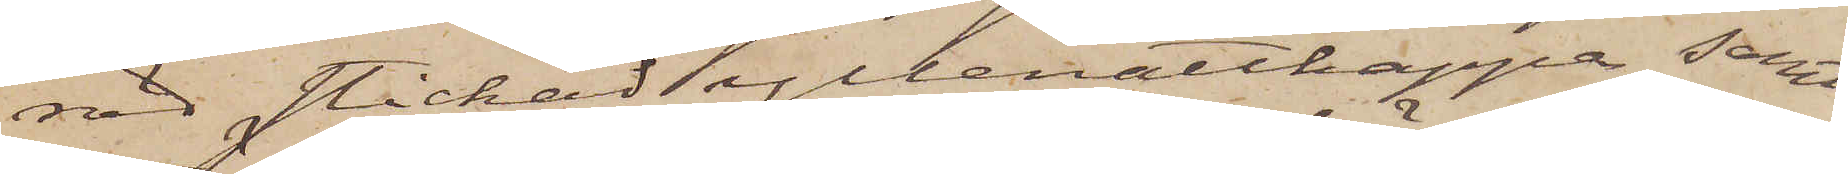röd stickad yllenattkappa samt
